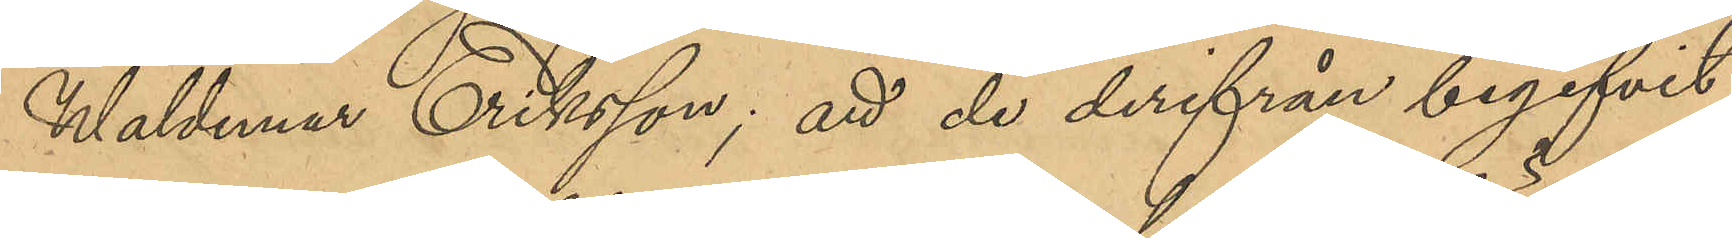Waldemar Eriksson; att de derifrån begifvit
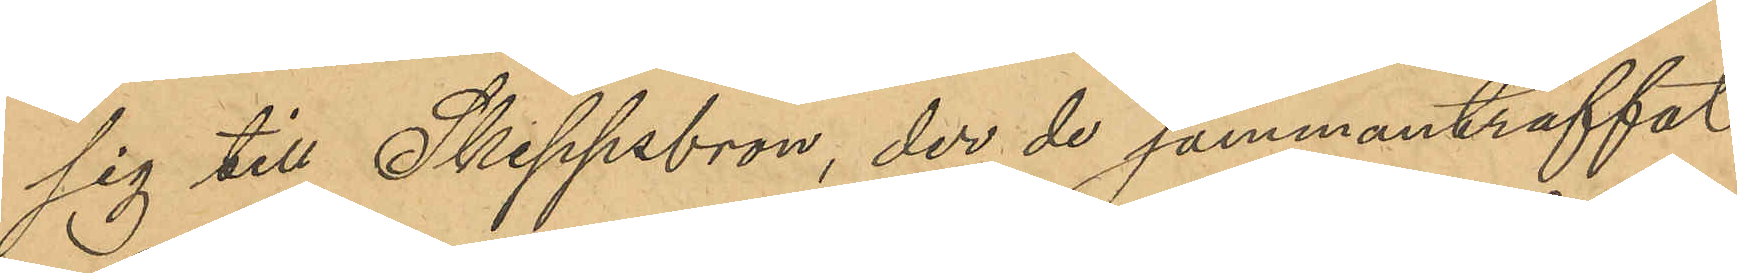sig till Skeppsbron, der de sammanträffat
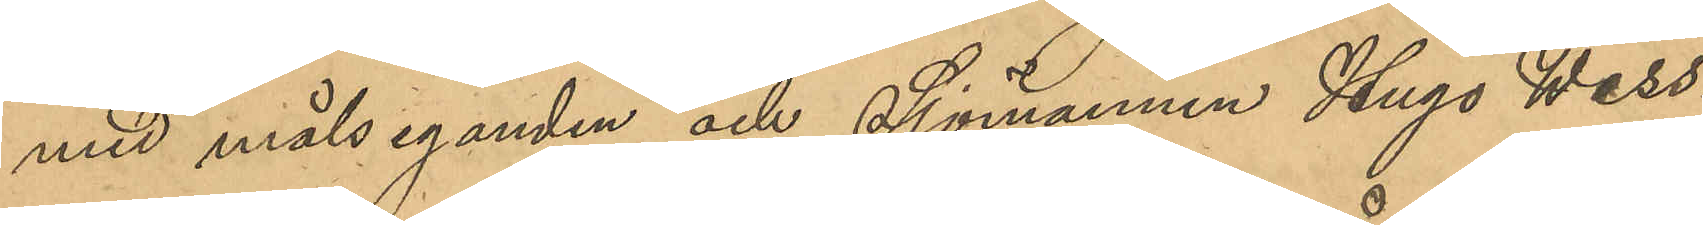med målseganden och Sjömannen Hugo Wess¬
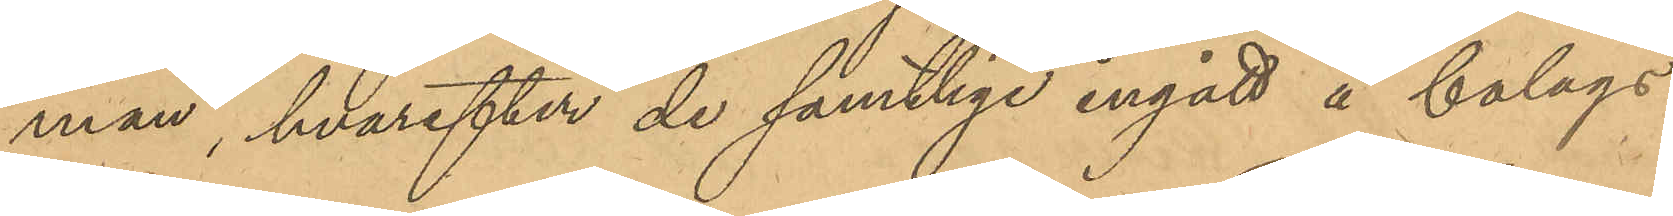man, hvarefter de samtlige ingått å bolags¬
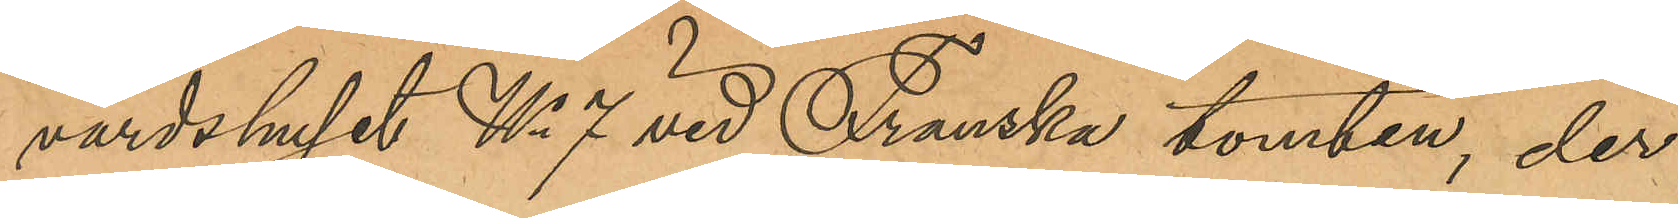värdshuset No 7 vid Franska tomten, der
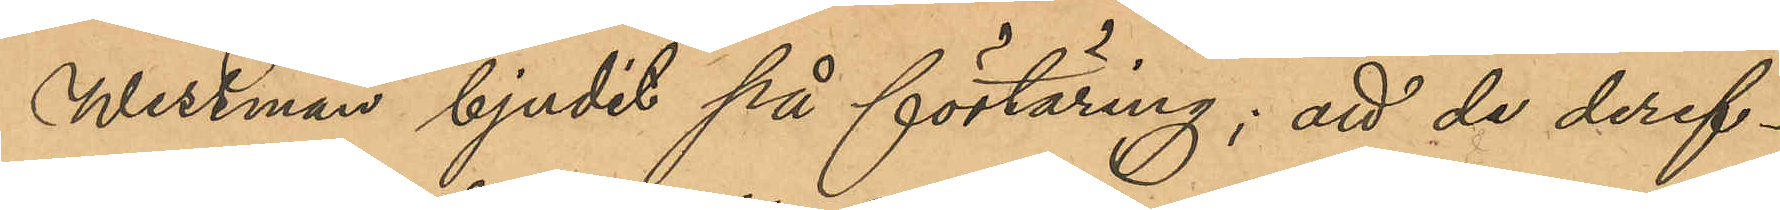Wessman bjudit på förtäring; att de deref¬
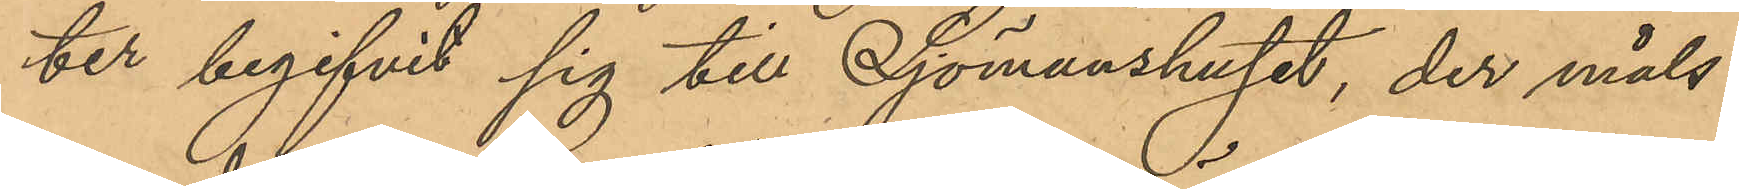ter begifvit sig till Sjömanshuset, der måls¬
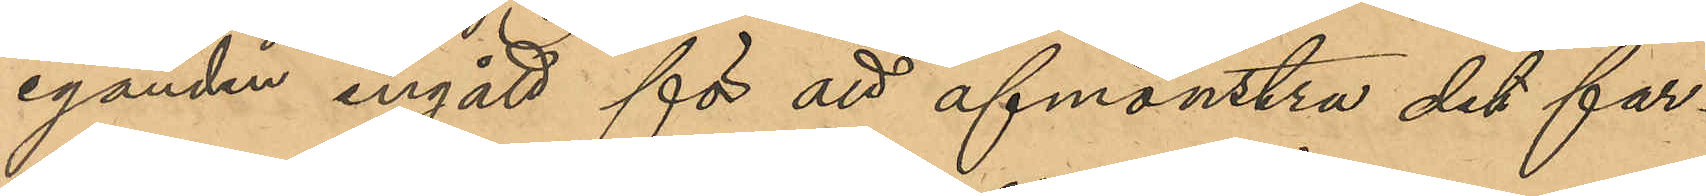eganden ingått för att afmönstra det far¬
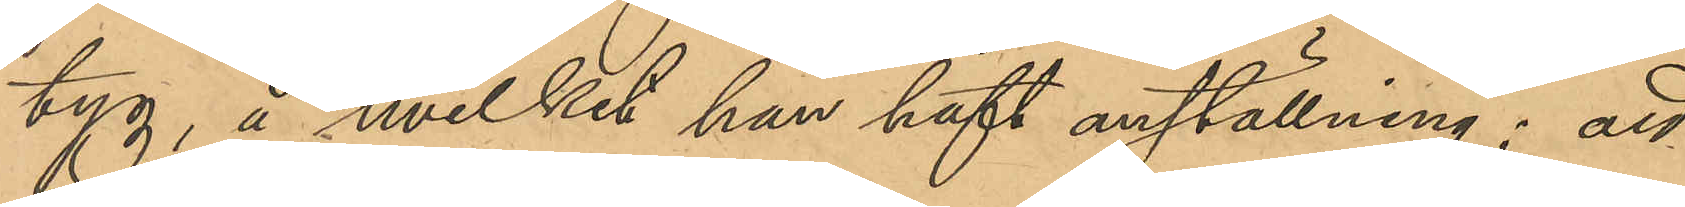tyg, å hvilket han haft anställning; att
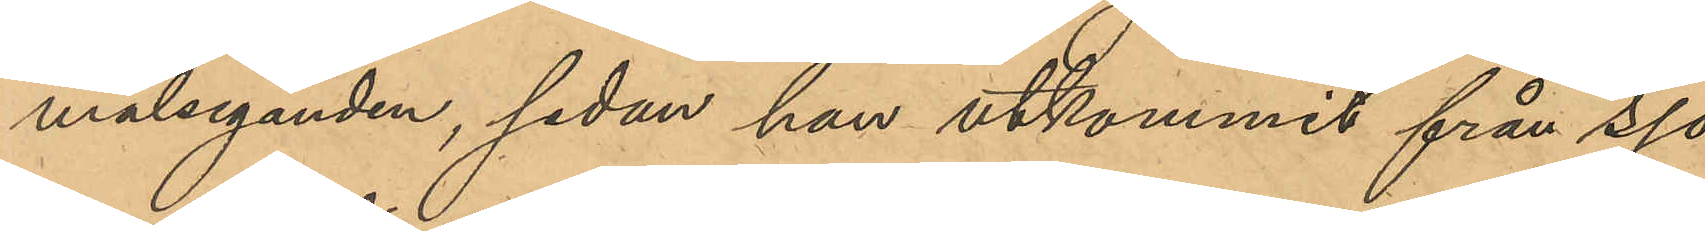målseganden, sedan han utkommit från sjö¬
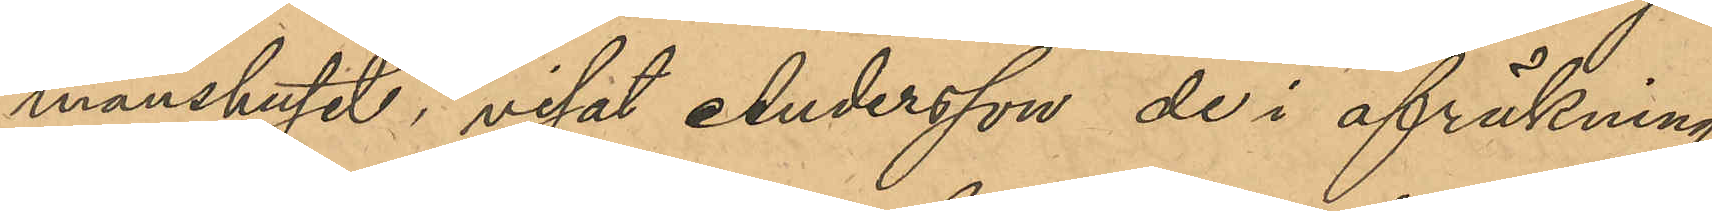manshuset, visat Andersson de i afräkning
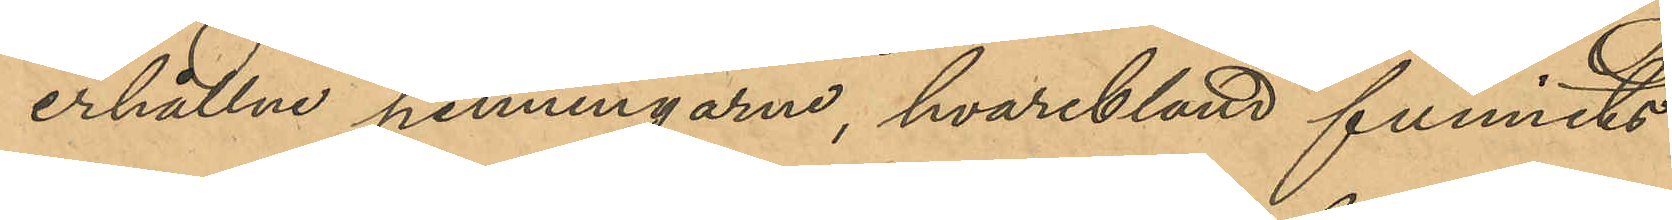erhållna penningarne, hvaribland funnits
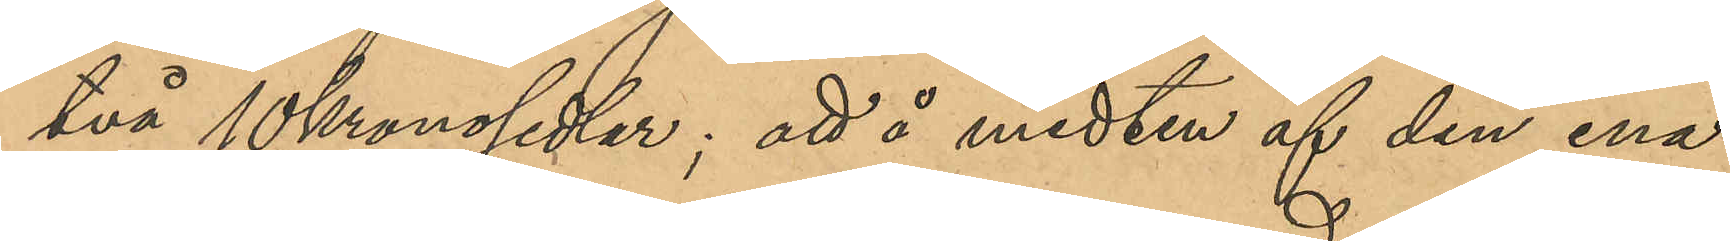två 10 kronosedlar; att å midten af den ena
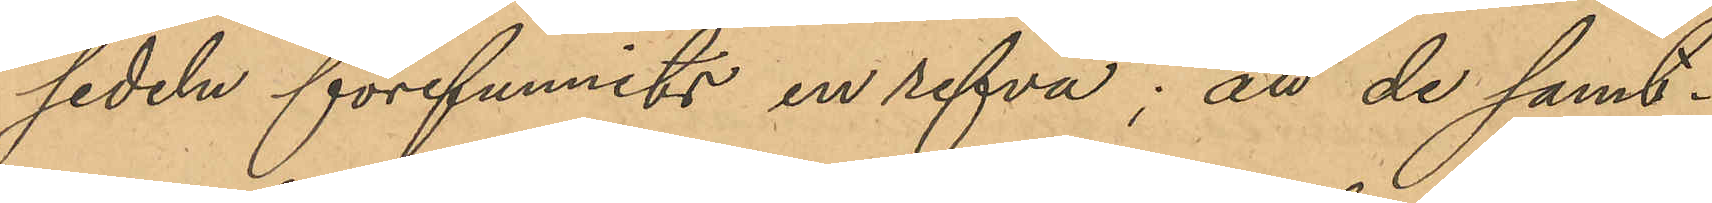sedeln förfunnits en refva; att de samt¬
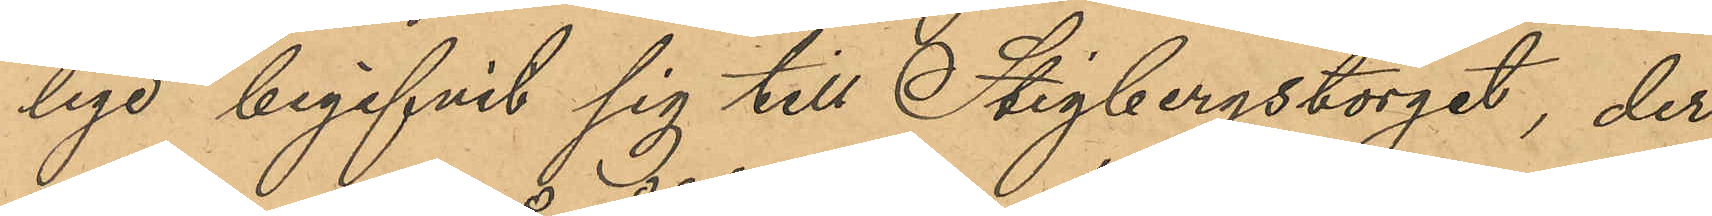lige begifvit sig till Stigbergstorget, der
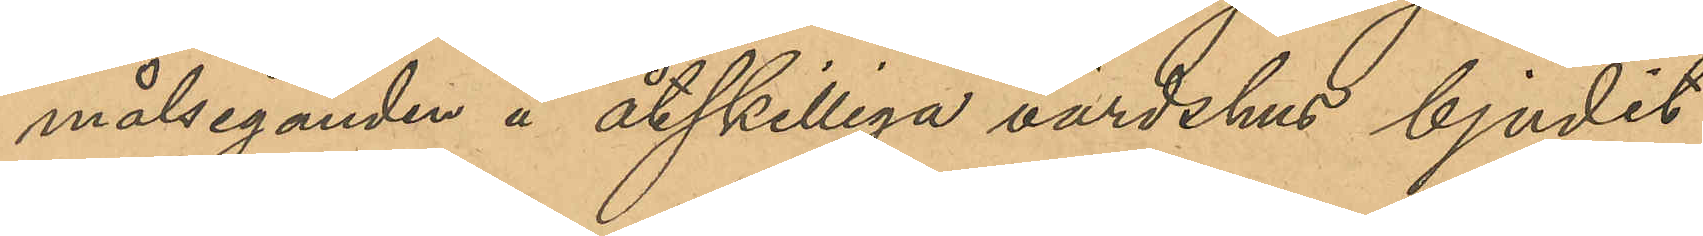målseganden å åtskilliga värdshus bjudit
